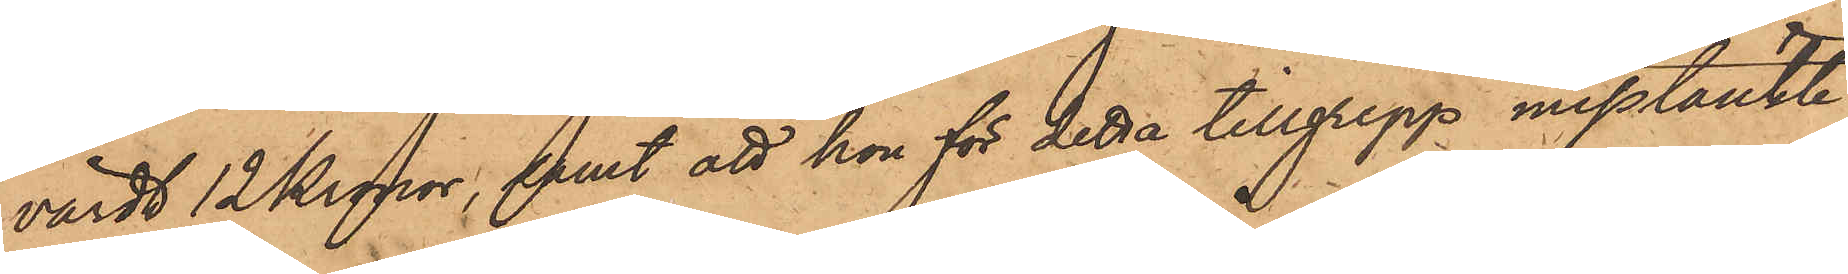värdt 12 Kronor, samt att hon för detta tillgrepp misstänkte
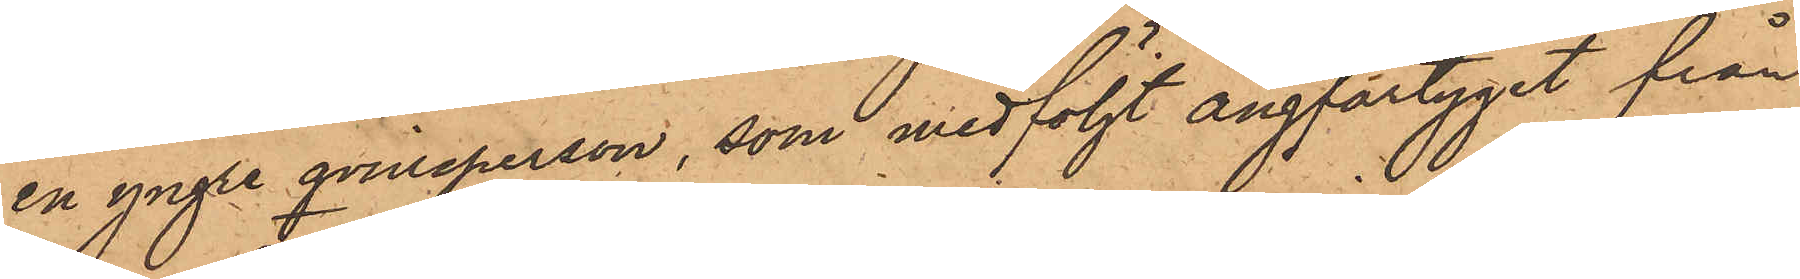en yngre qvinsperson, som medföljt Ångfartyget från
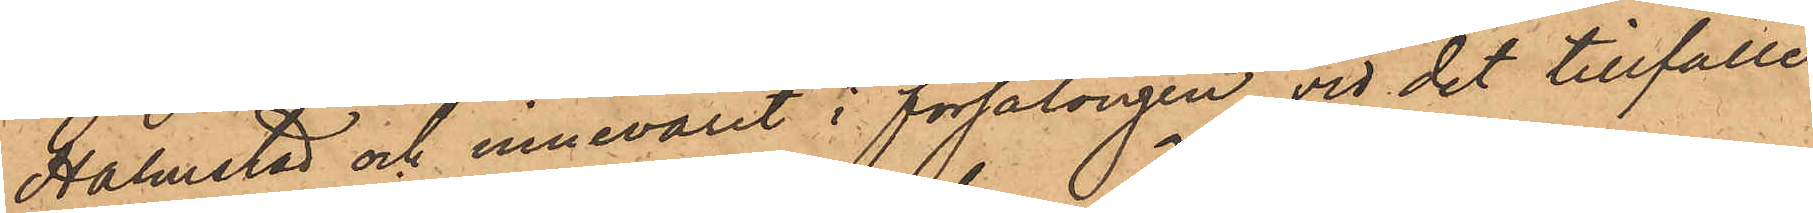Halmstad och innevarit i försalongen vid det tillfälle
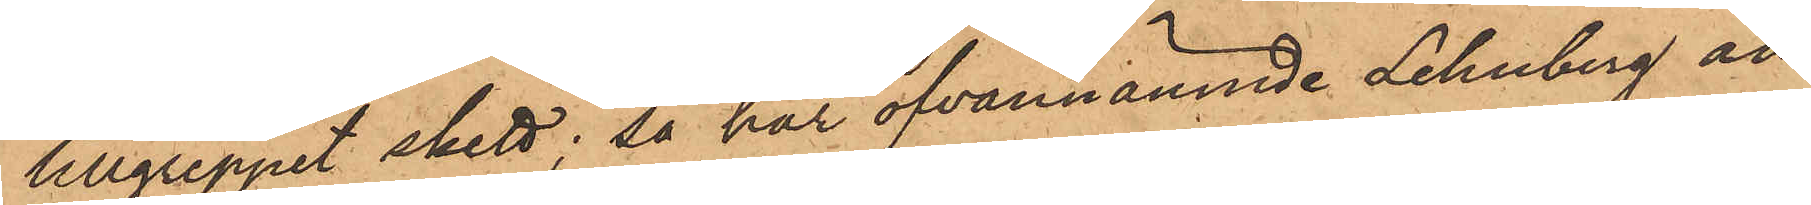tillgreppet skett; så har ofvannämnde Lehnberg an¬
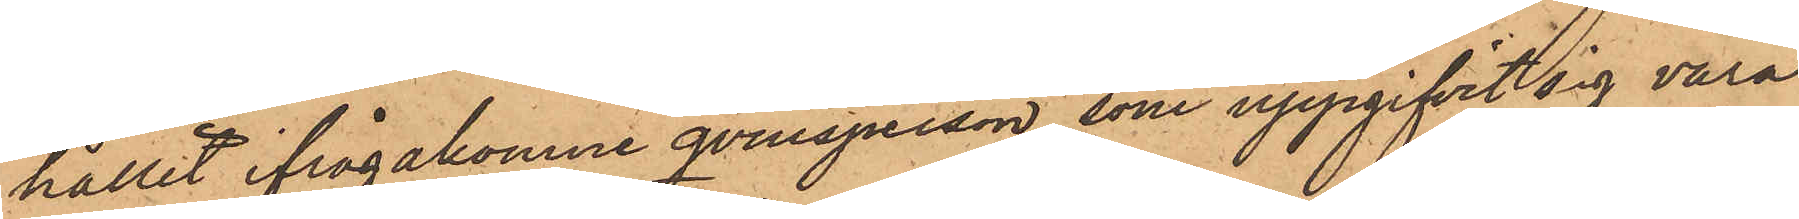hållit ifrågakomne qvinsperson, som uppgifvit sig vara
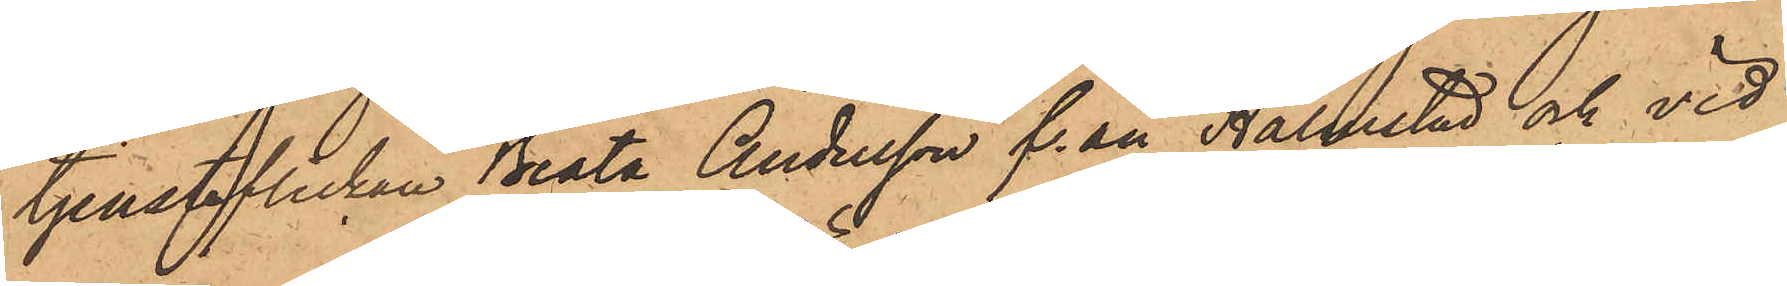tjensteflickan Beata Andersson från Halmstad och vid
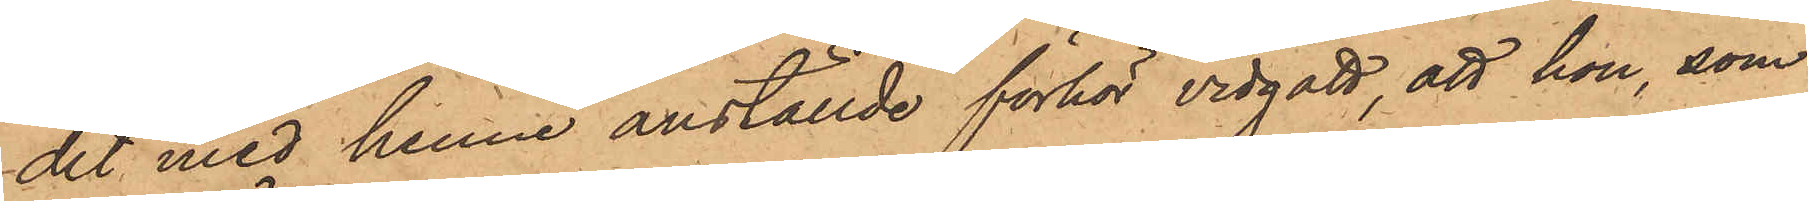det med henne anställde förhör vidgått, att hon, som
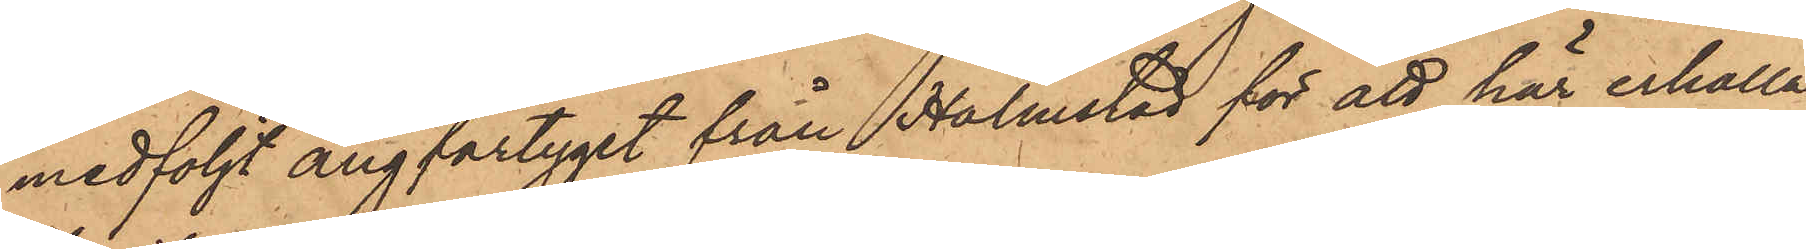medföljt ångfartyget från Halmstad för att här erhålla
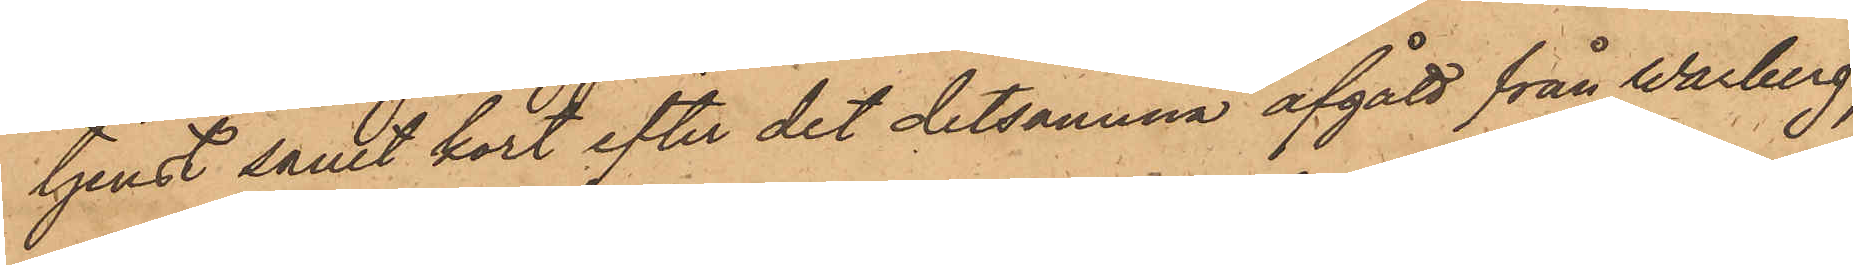tjenst samt kort efter det detsamma afgått från Warberg,
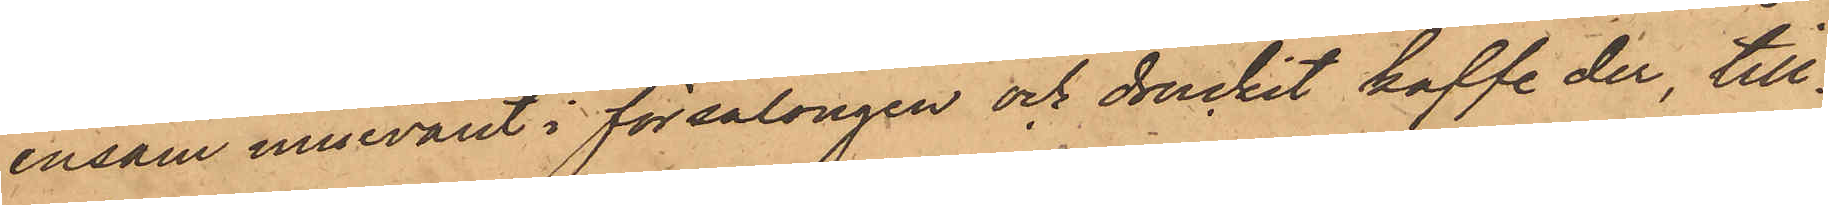ensam innevarit i försalongen och druckit kaffe der, till¬
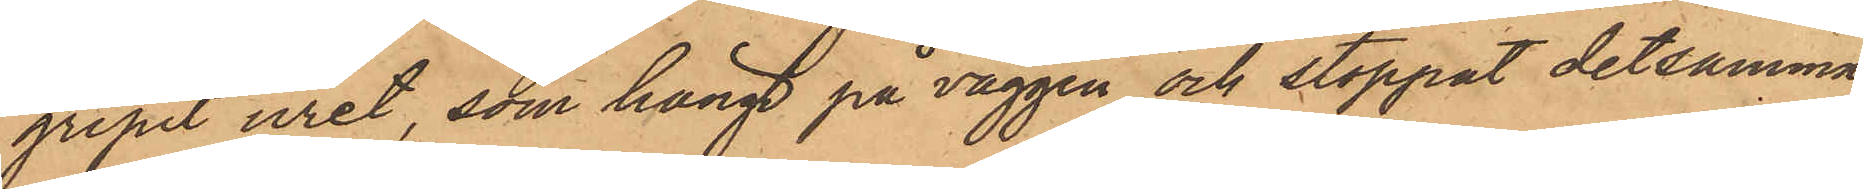gripit uret, som hängt på väggen, och stoppat detsamma
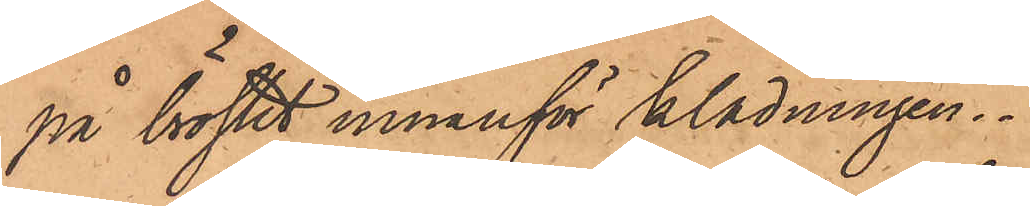på bröstet innanför klädningen.
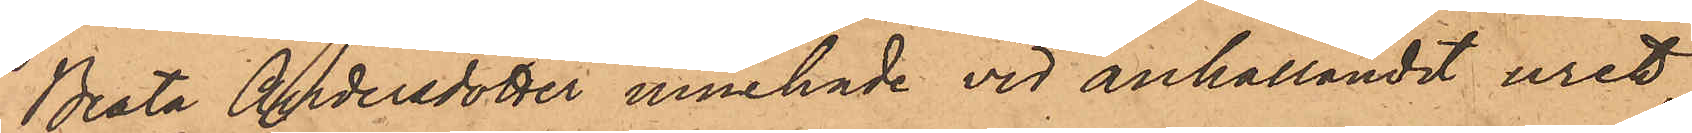Beata Andersdotter innehade vid anhållandet uret,
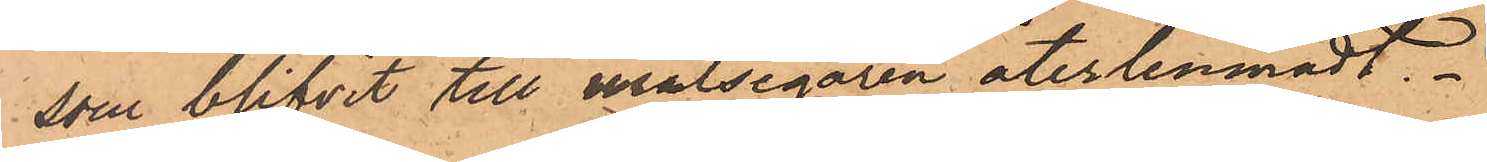som blifvit till målsegaren återlemnadt.
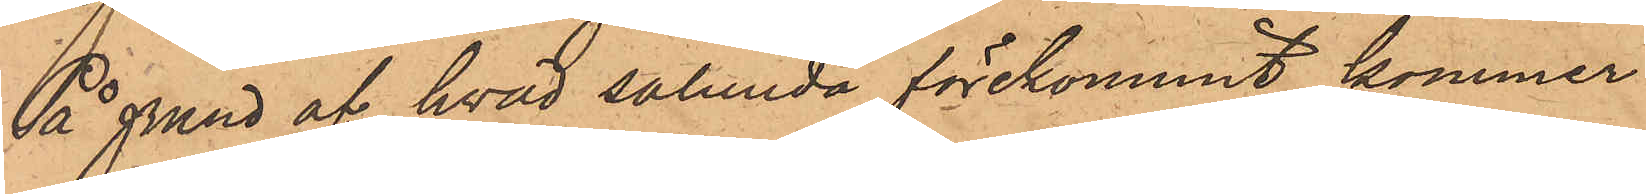På grund af hvad salunda förekommit, kommer
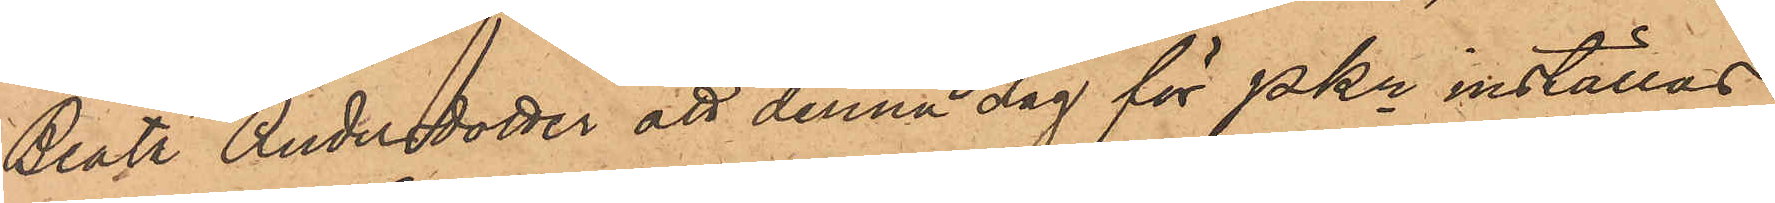Beata Andersdotter att denna dag för PKn inställas.
